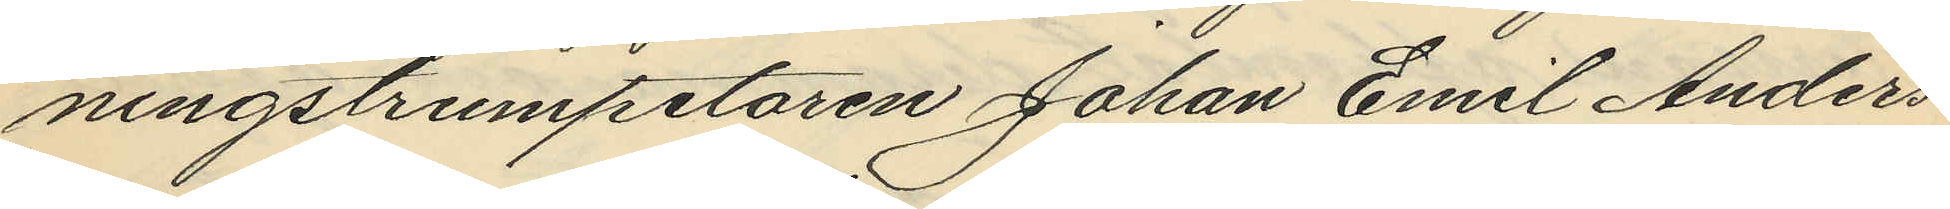ningstrumpetaren Johan Emil Anders¬
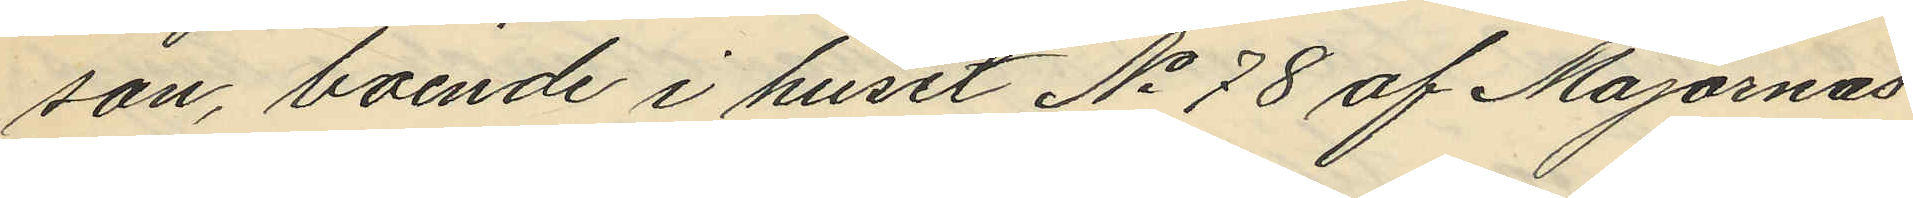son, boende i huset No 78 af Majornas
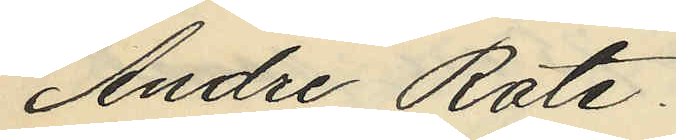Andre Rote.
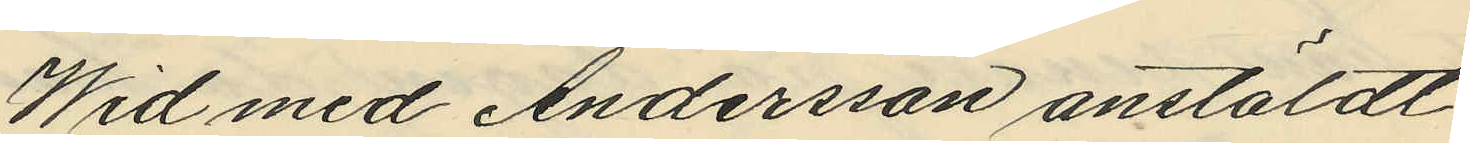Wid med Andersson anstäldt
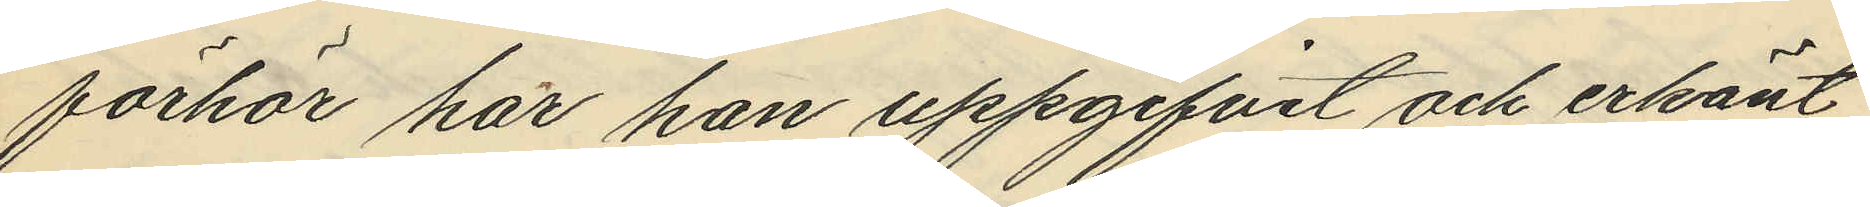förhör har han uppgifvit och erkänt
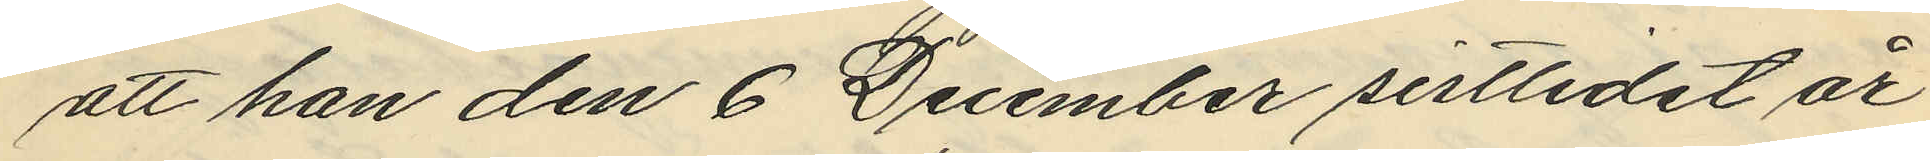att han den 6 December sistlidet år
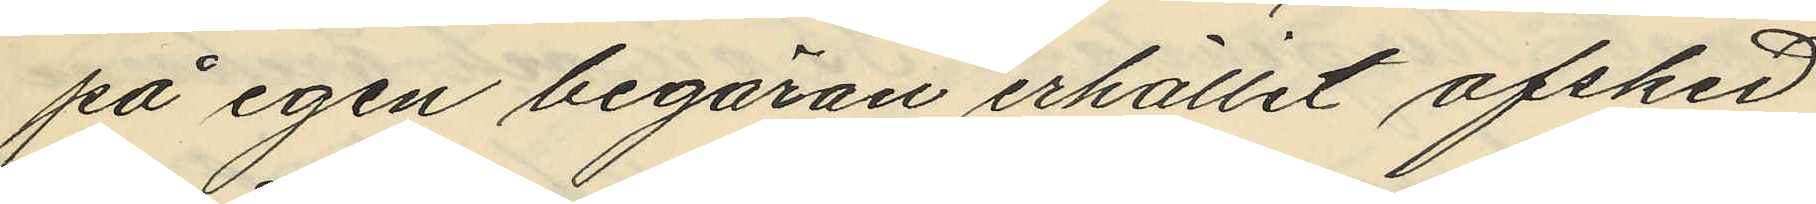på egen begäran erhållit afsked
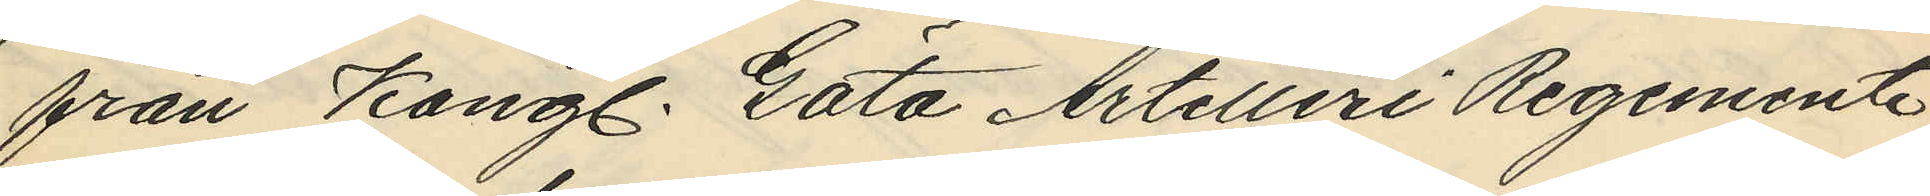från Kongl. Göta Artilleri Regemente
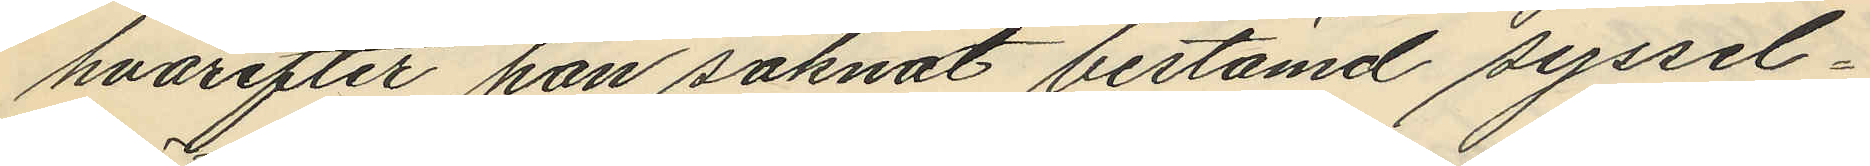hvarefter han saknat bestämd syssel¬
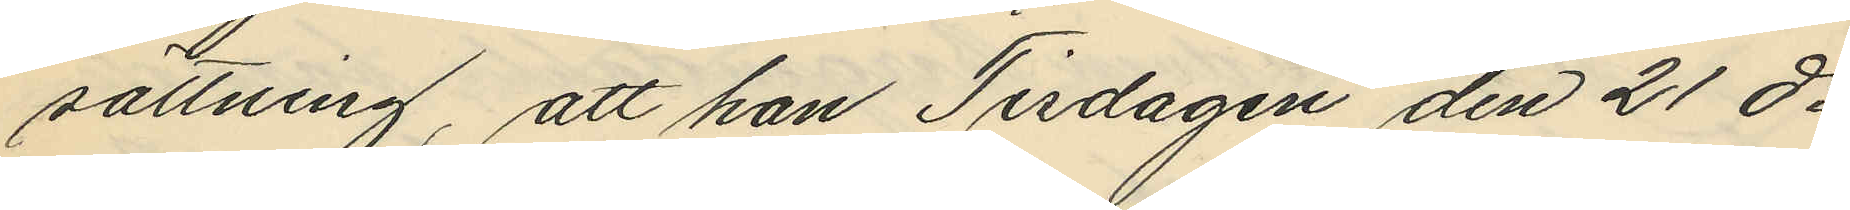sättning, att han Tisdagen den 21 ds
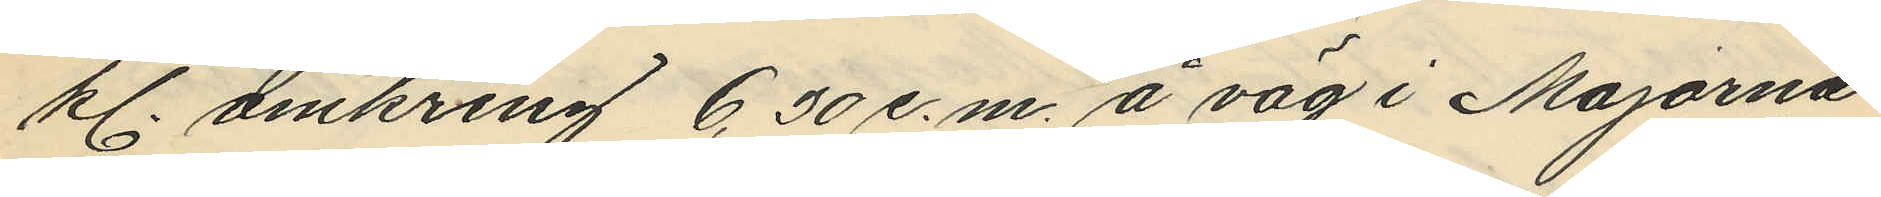kl. omkring 6,30 e.m. å väg i Majorna
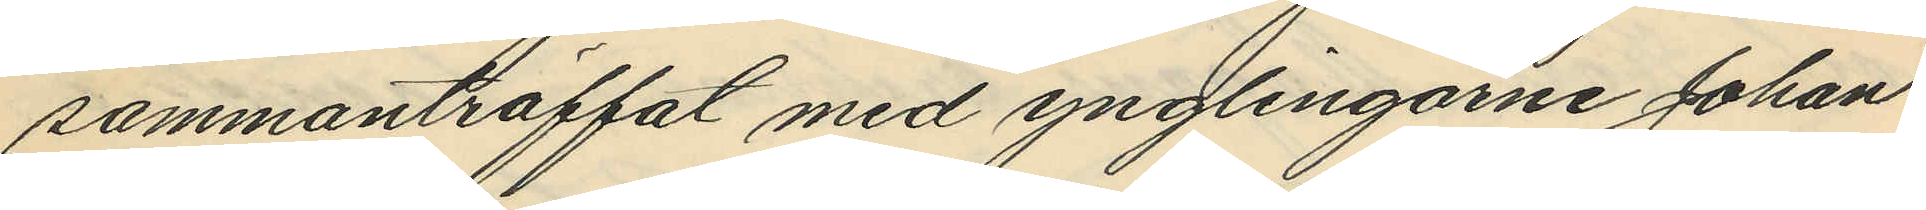sammanträffat med ynglingarne Johan
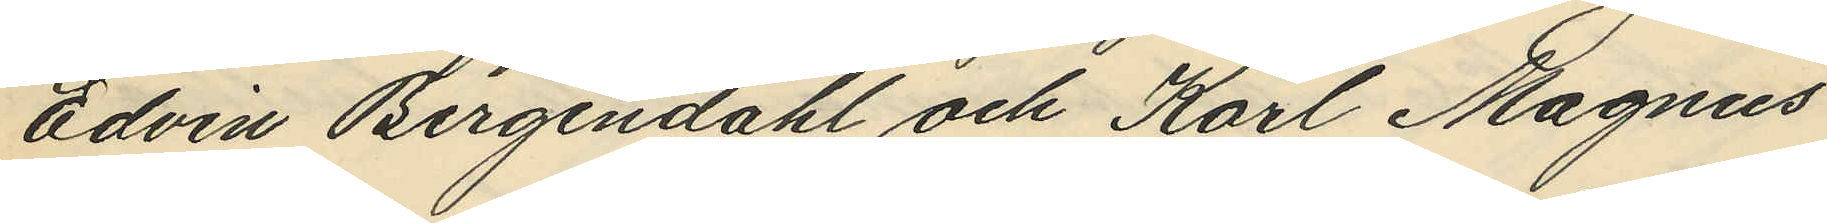Edvin Bergendahl och Karl Magnus
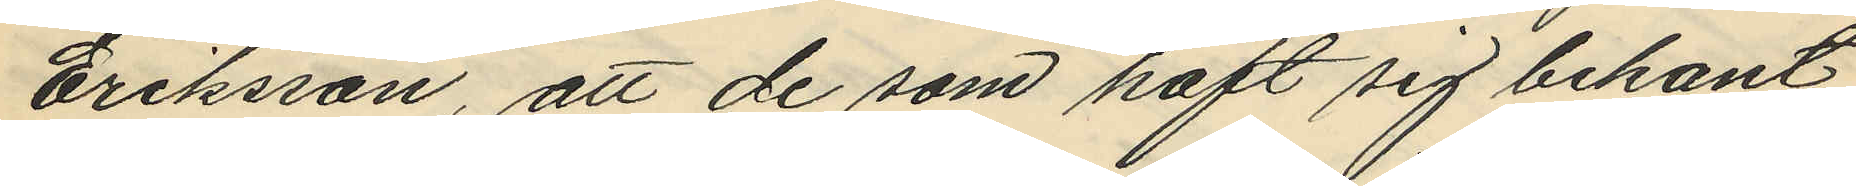Eriksson, att de som haft sig bekant
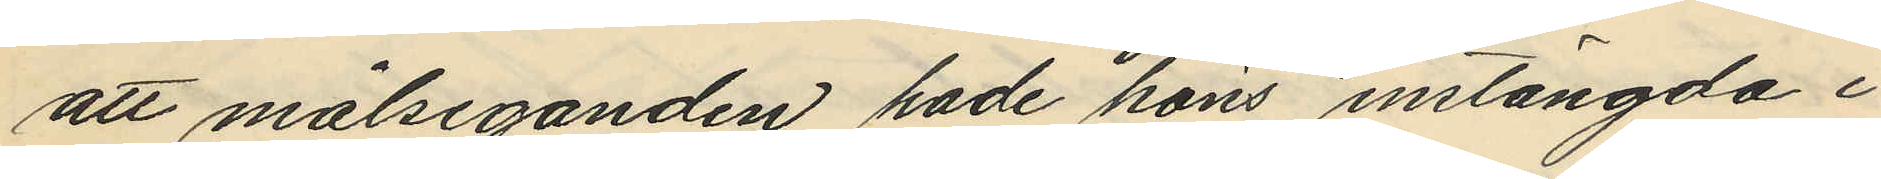att målseganden hade höns instängda i
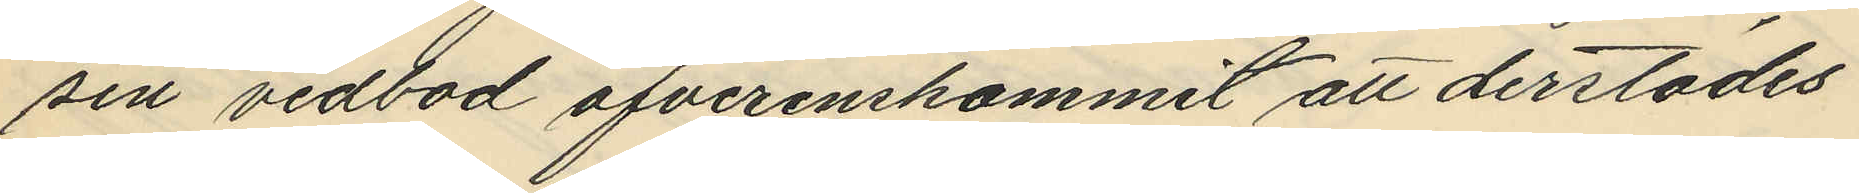sin vedbod öfverenskommit att derstädes
